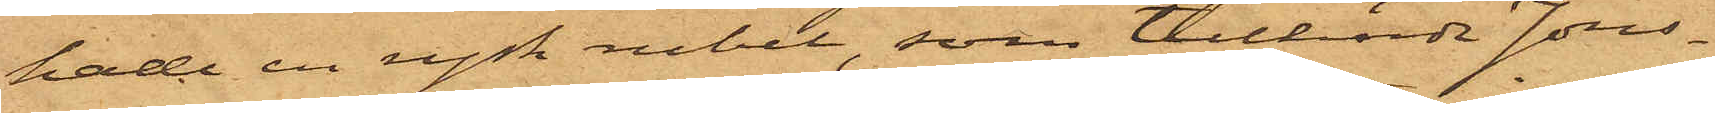hade en rysk rubel, som tillhörde Jons¬
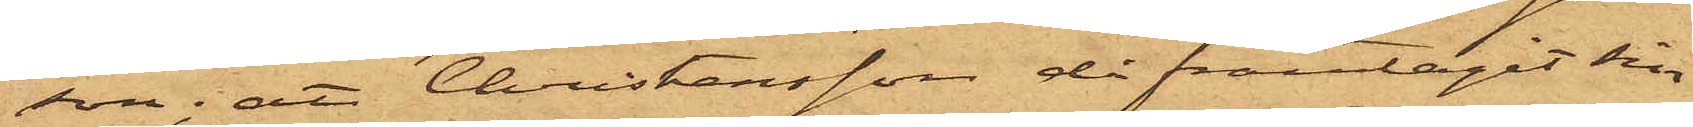son; att Christensson då framtagit sin
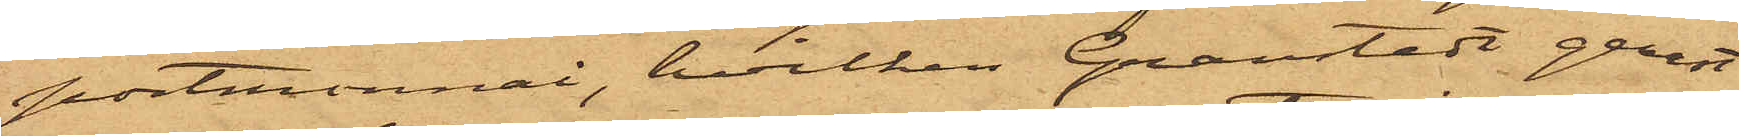portmonnai, hvilken Granstedt genast
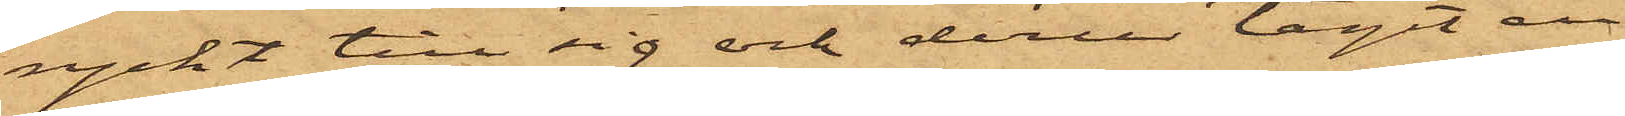ryckt till sig och derur tagit en
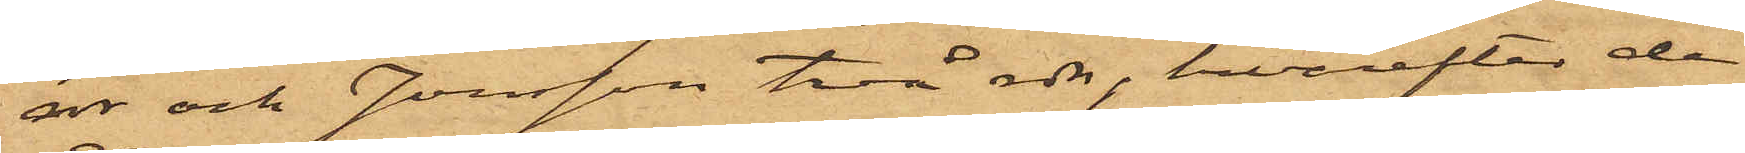rdr och Jonsson två rdr, harefter de
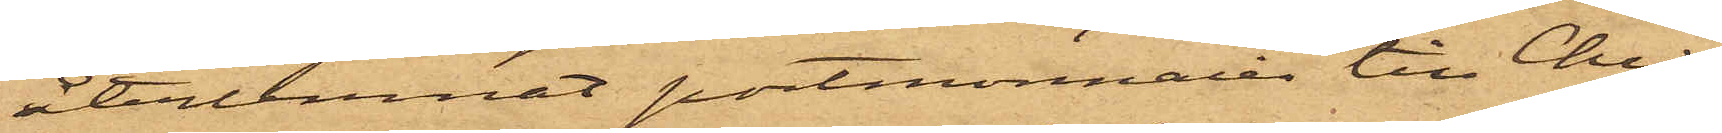återlemnat portmonnaien till Chri¬
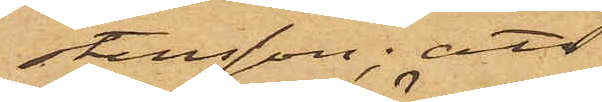stensson; att
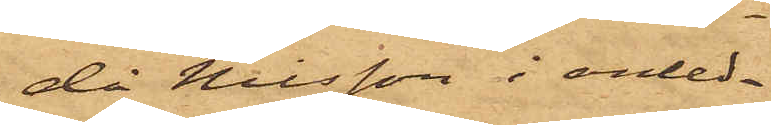då Nilsson i anled¬
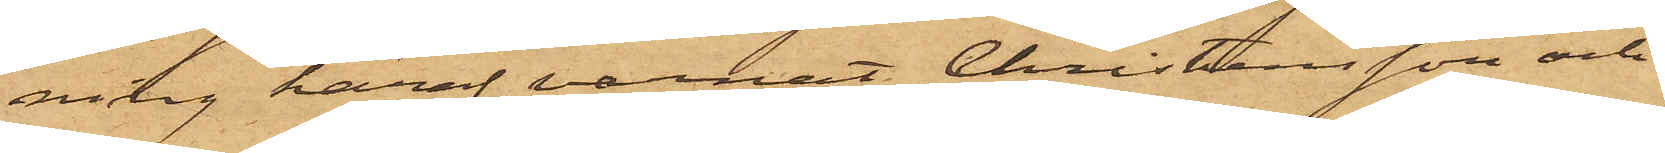ning häraf varnat Christensson och
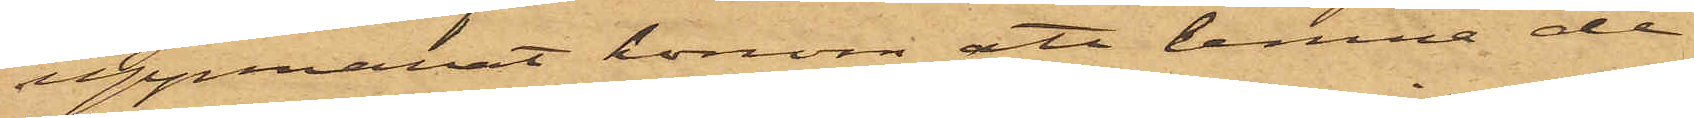uppmanat honom att lemna de
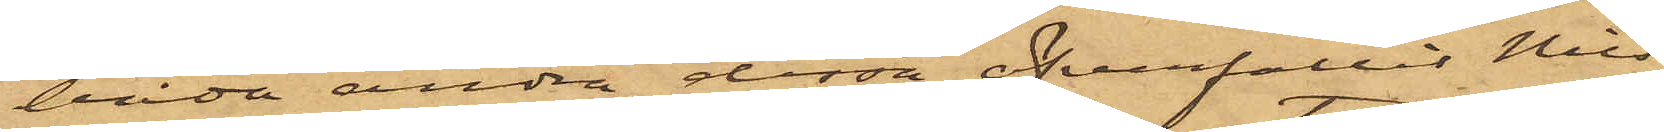båda andra, dessa öfverfallit Nils¬
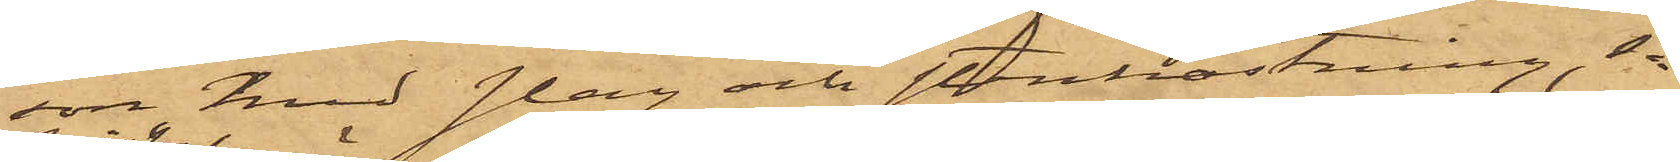son med slag och stenkastning, så
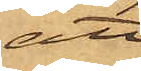att
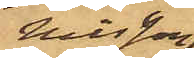Nilsson
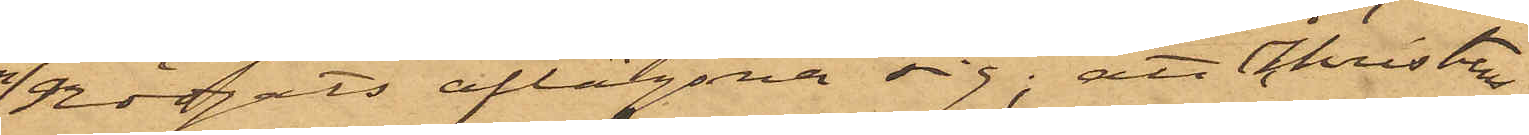nödgats aflägsna sig; att Christens¬
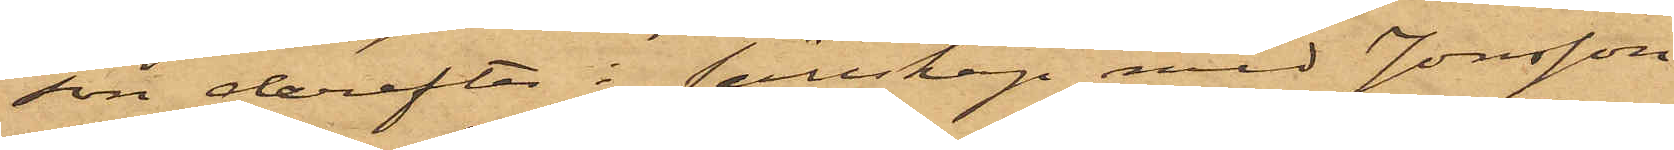son derefter i sällskap med Jonsson
